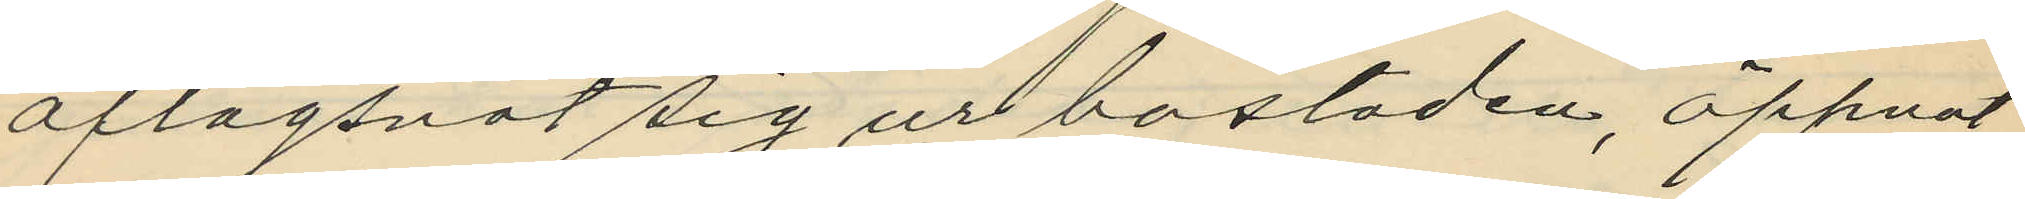aflägsnat sig ur bostaden, öppnat
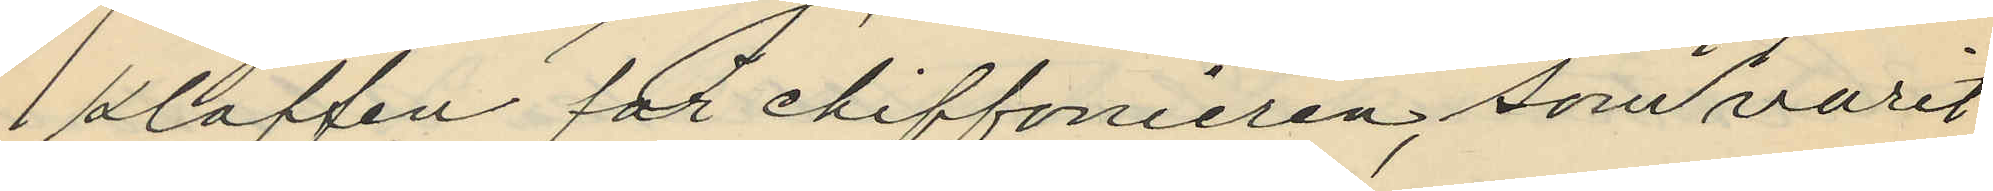klaffen för chiffonieren, som varit
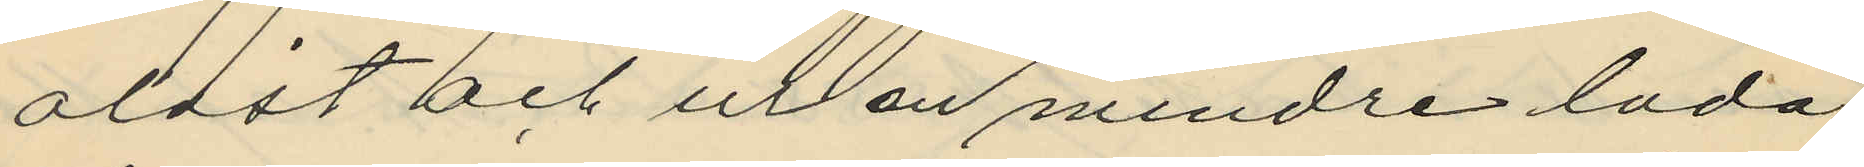olåst och ur en mindre låda
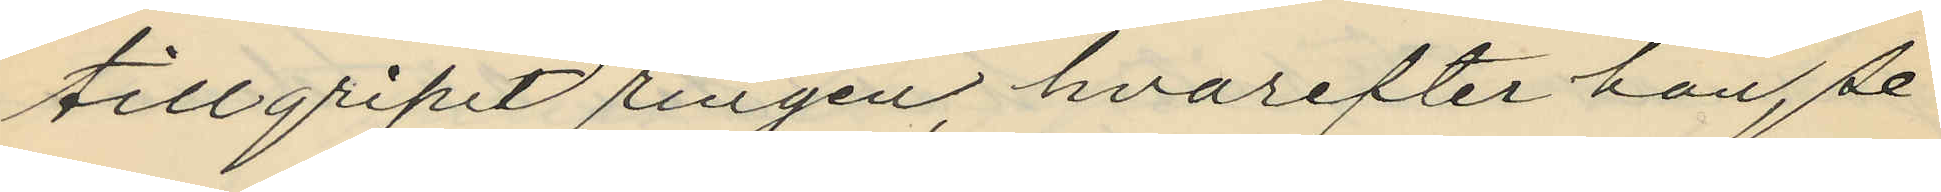tillgripit ringen, hvarefter han, se¬
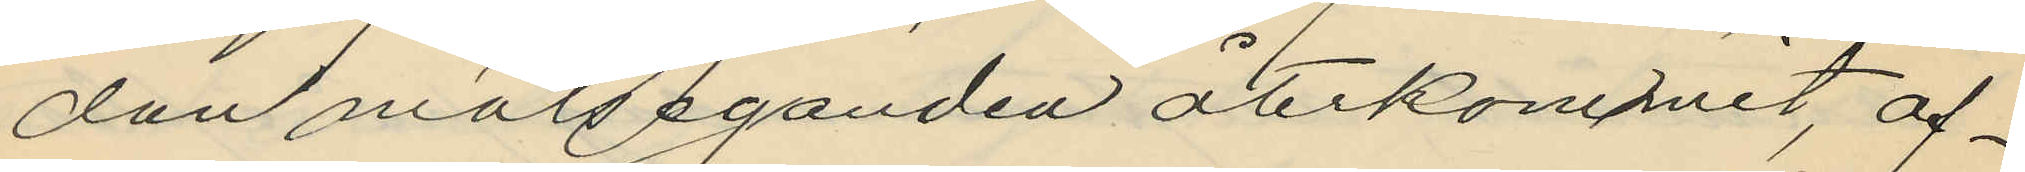dan målseganden återkommet, af¬
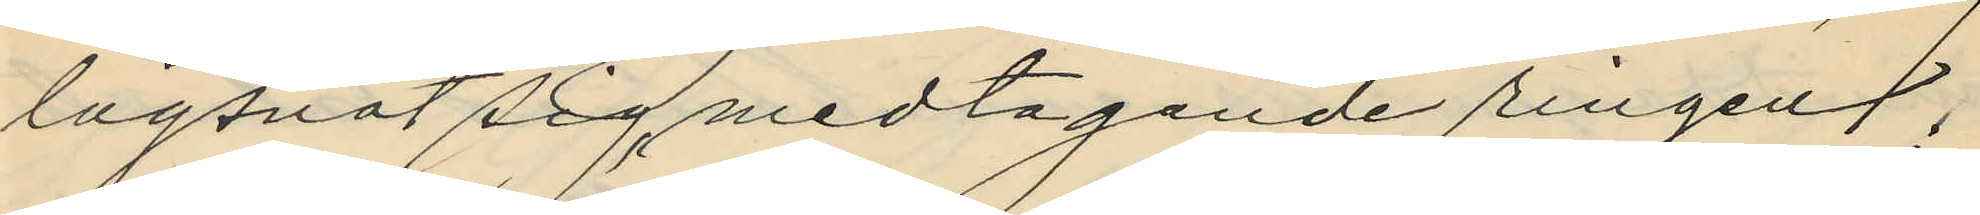lägsnat sig, medtagande ringen;
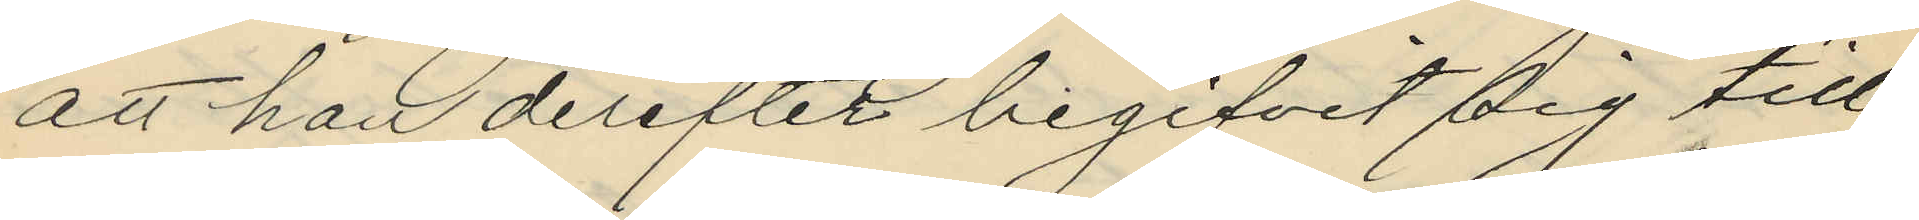att han derefter begifvit sig till
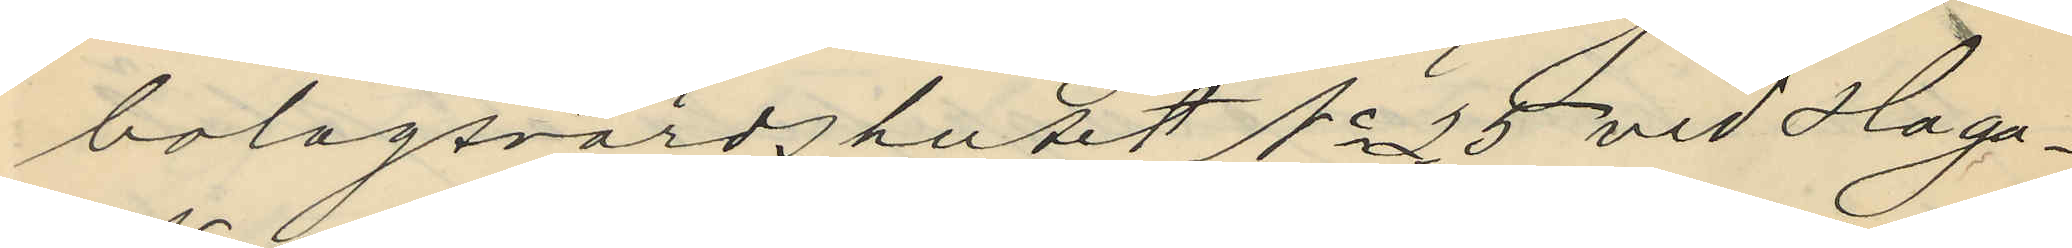bolagsvärdshuset No 25 vid Haga
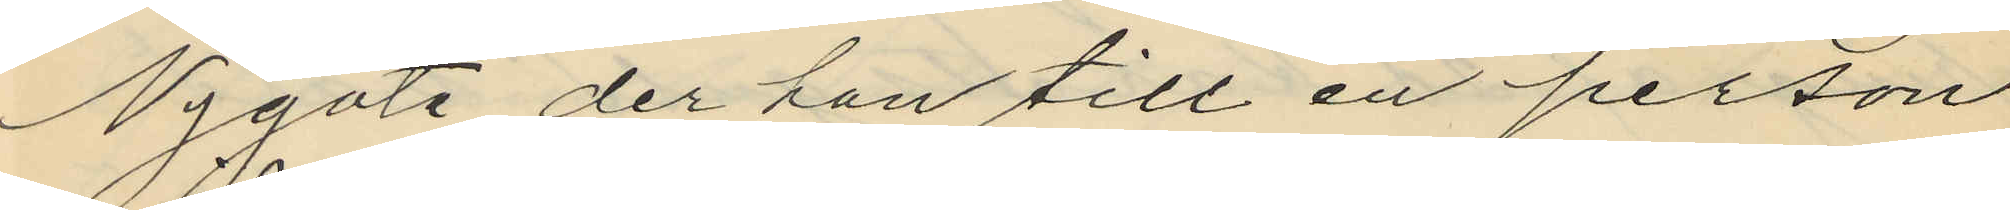Nygate, der han till en person
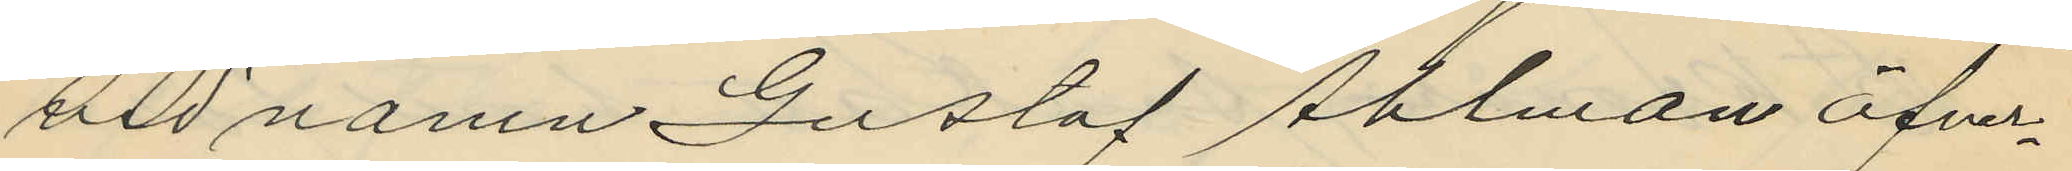vid namn Gustaf Ahlman öfver¬
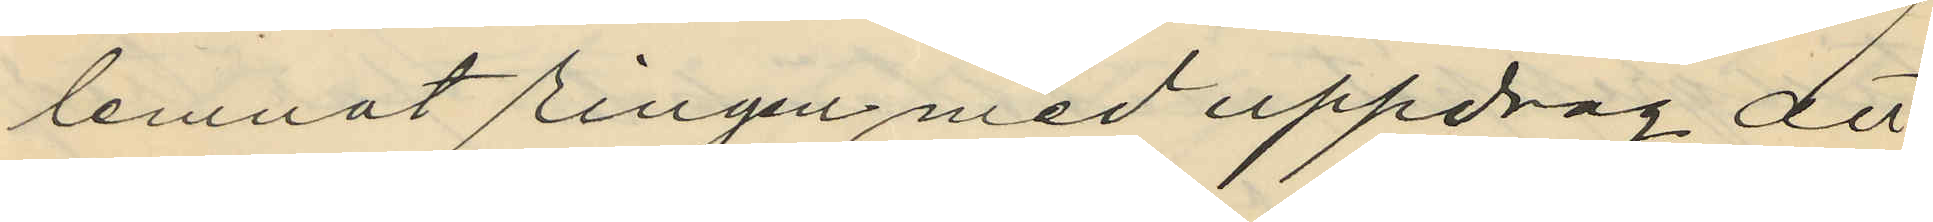lemnat ringen med uppdrag att
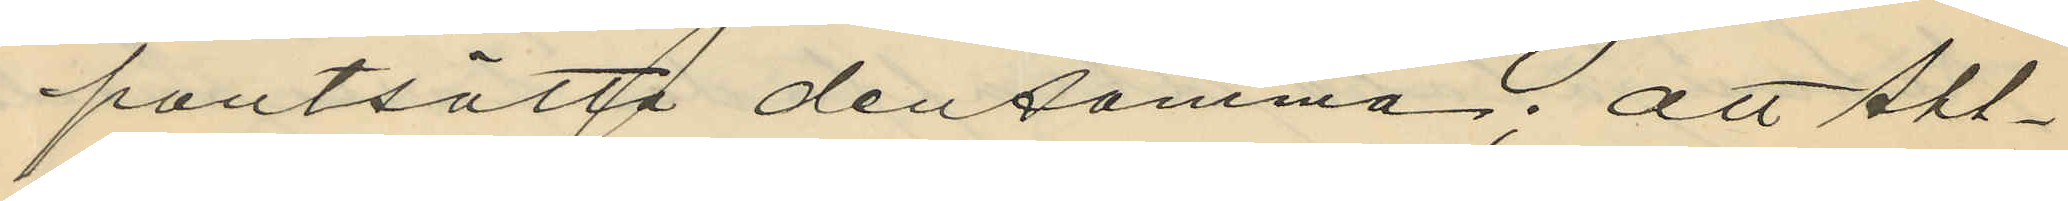pantsätta densamma; att Ahl¬
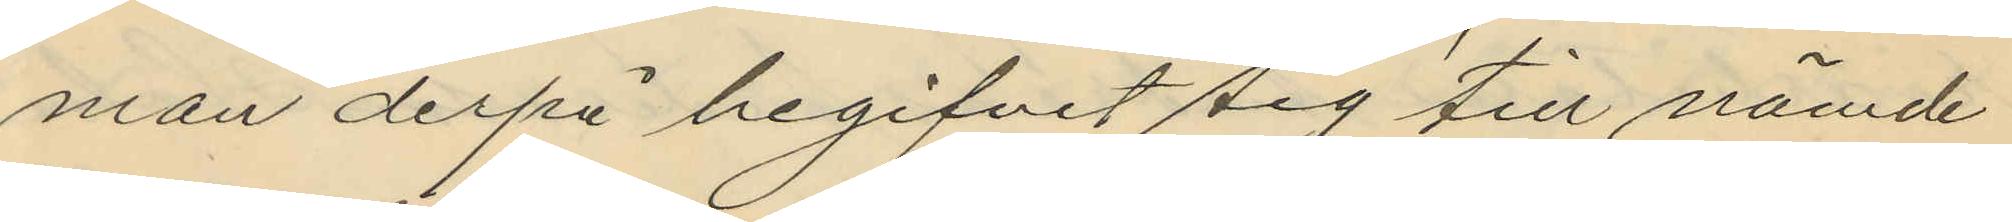man derpå begifvit sig till nämde
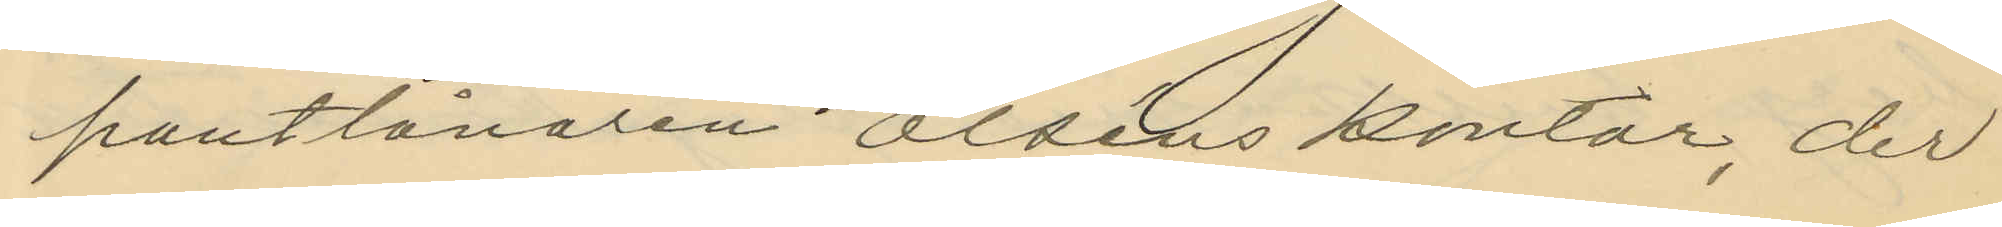pantlånaren Olséns kontor, der
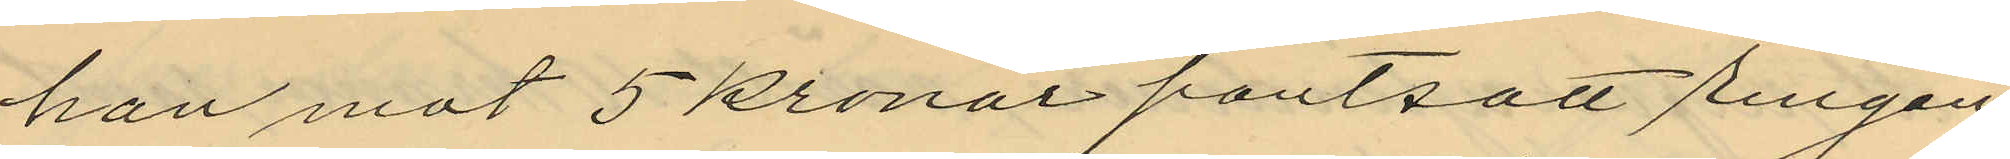han mot 5 kronor pantsatt ringen;
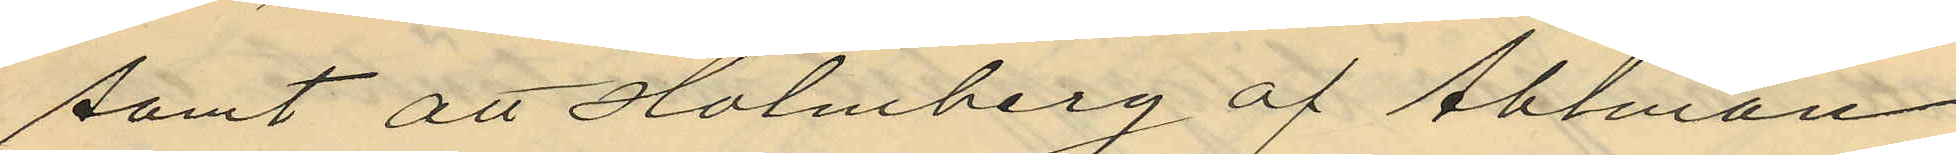samt att Holmberg af Ahlman
